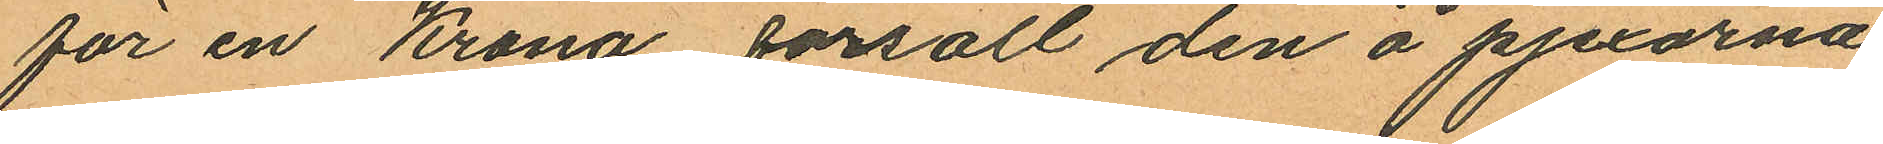för en Krona försålt den å pjexorna
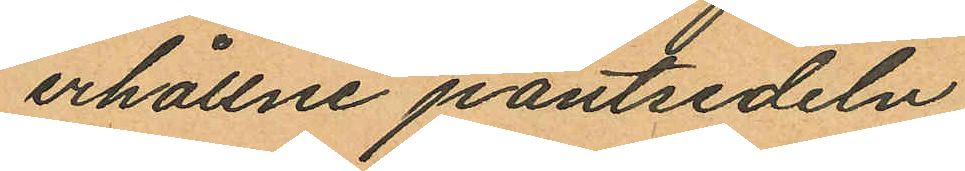erhållne pantsedeln.
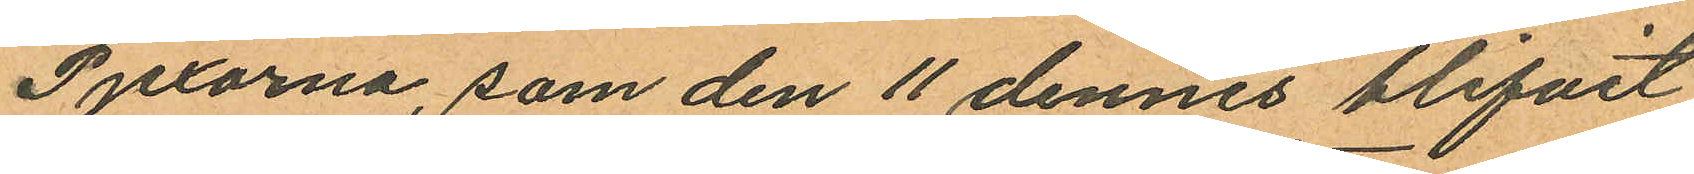Pjexorna, som den 11 dennes blifvit
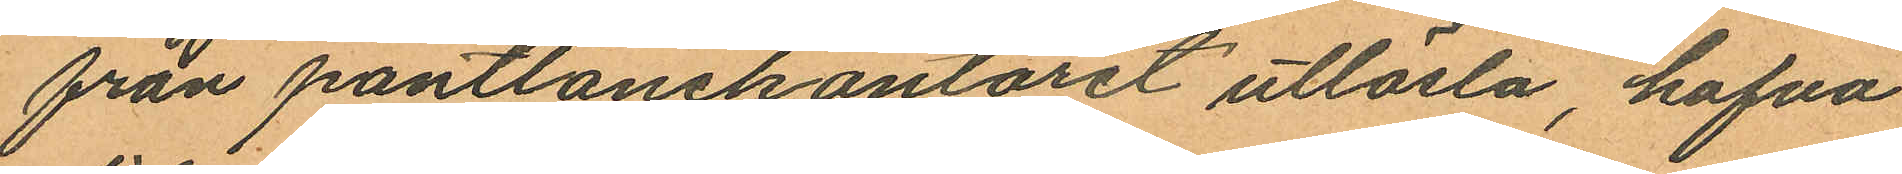från pantlånekontoret utlösta, hafva
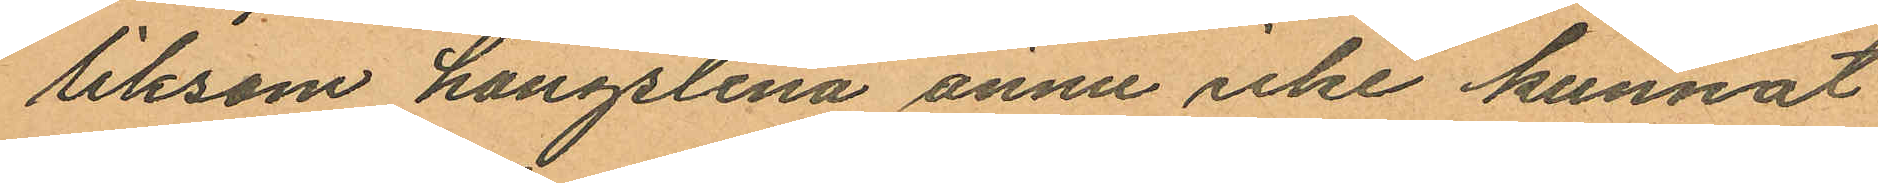liksom hängslena ännu icke kunnat
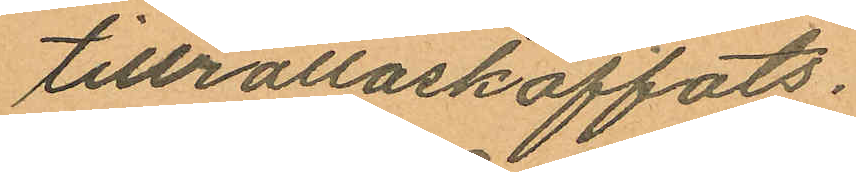tillrättaskaffats.
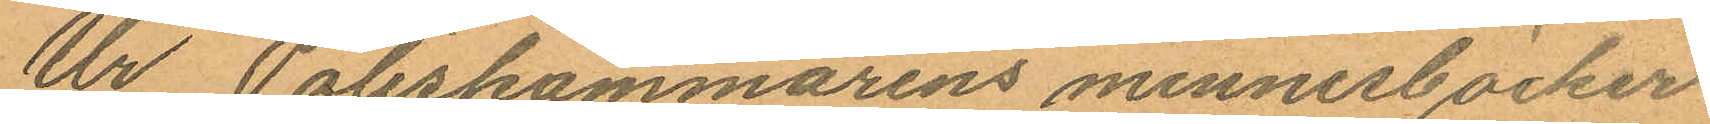Ur Poliskammarens minnesböcker
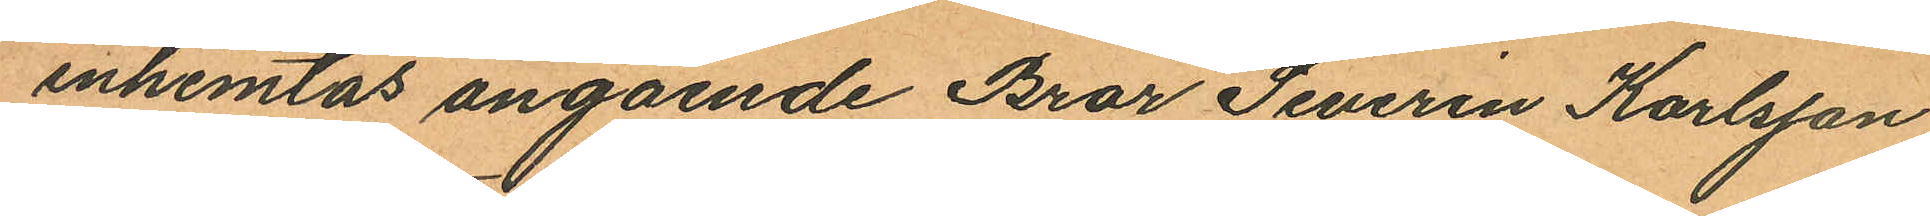inhemtas angående Bror Severin Karlsson
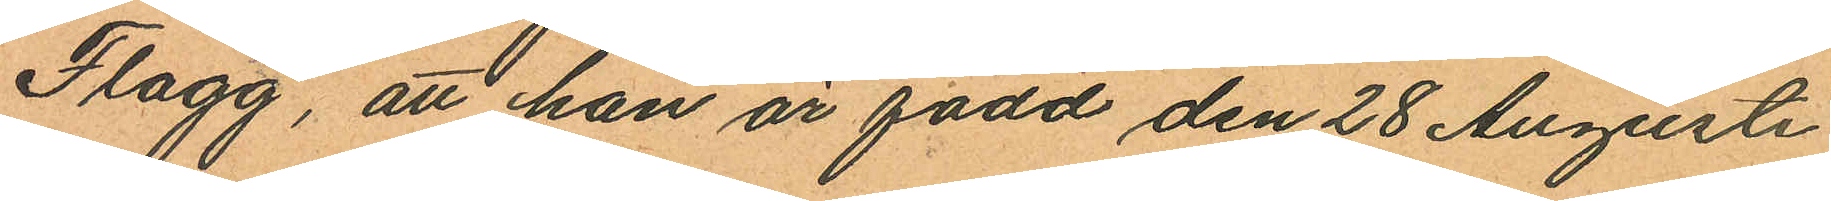Flagg, att han är född den 28 Augusti
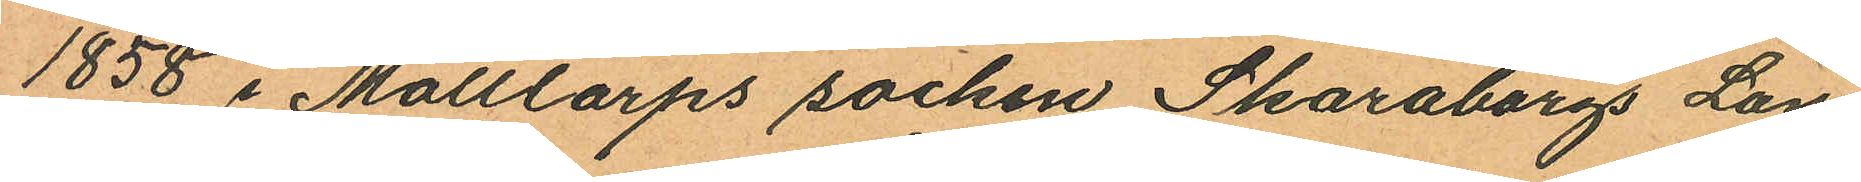1858 i Mölltorps socken Skaraborgs Län
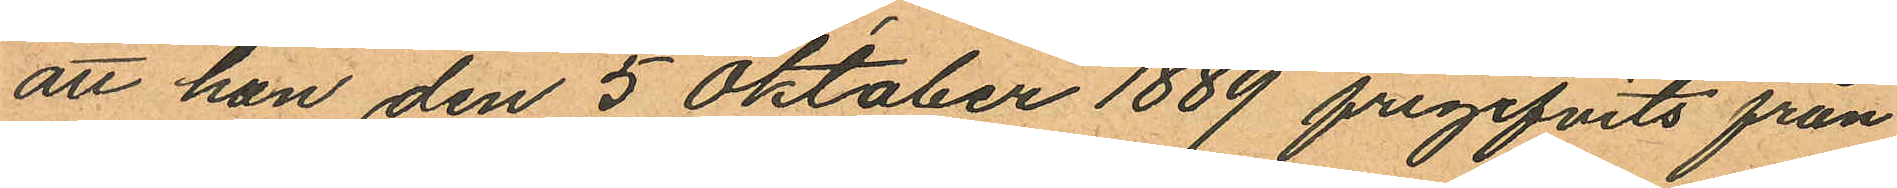att han den 5 Oktober 1889 frigifvits från
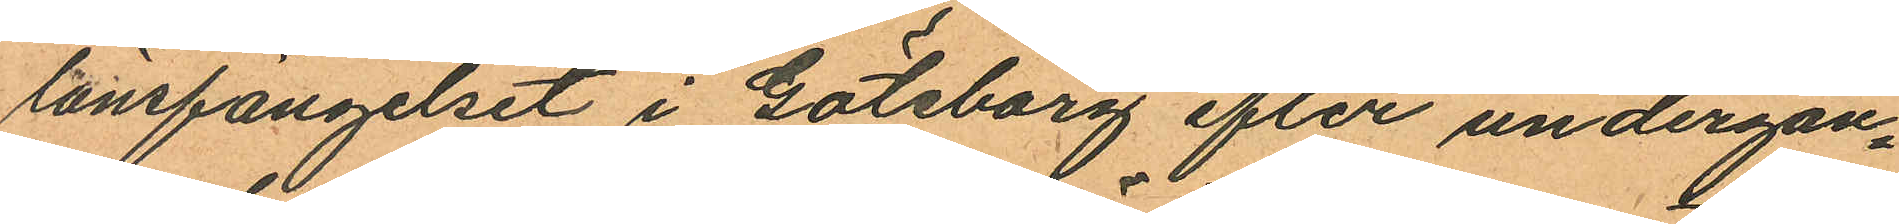länsfängelset i Göteborg efter undergån¬
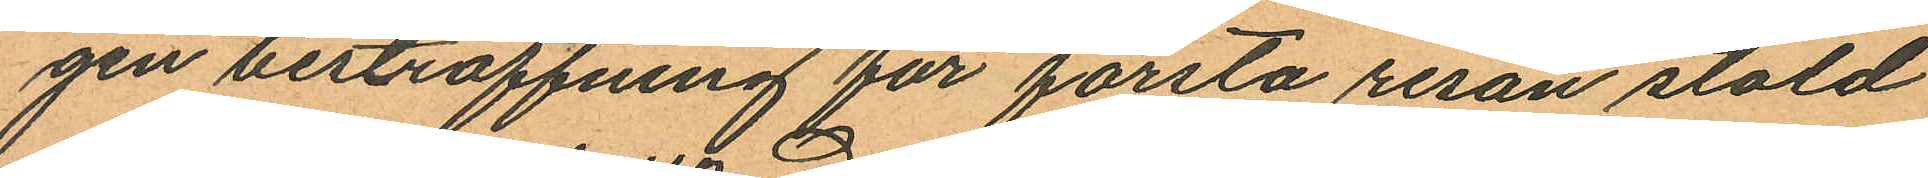gen bestraffning för första resan stöld
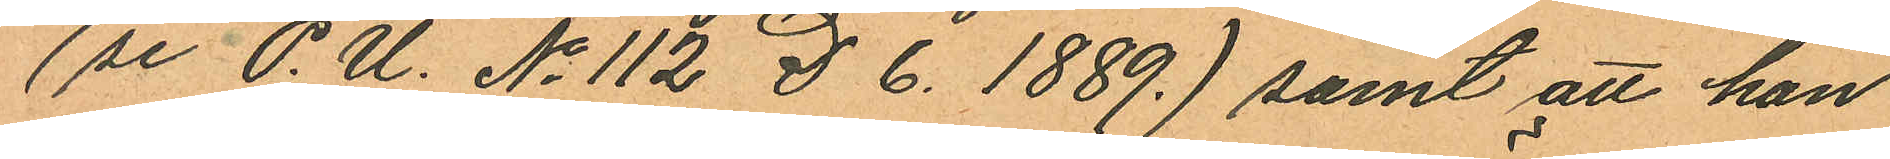(se P.U. No 112 D 6. 1889.) samt att han
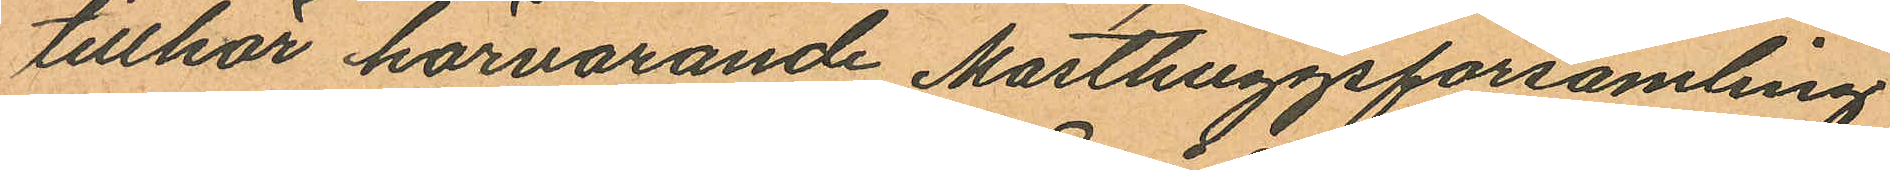tillhör härvarande Masthuggsförsamling
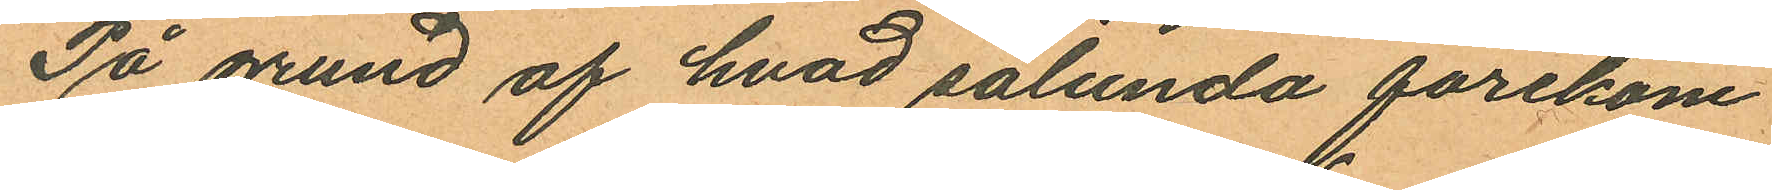På grund af hvad sålunda förekom
